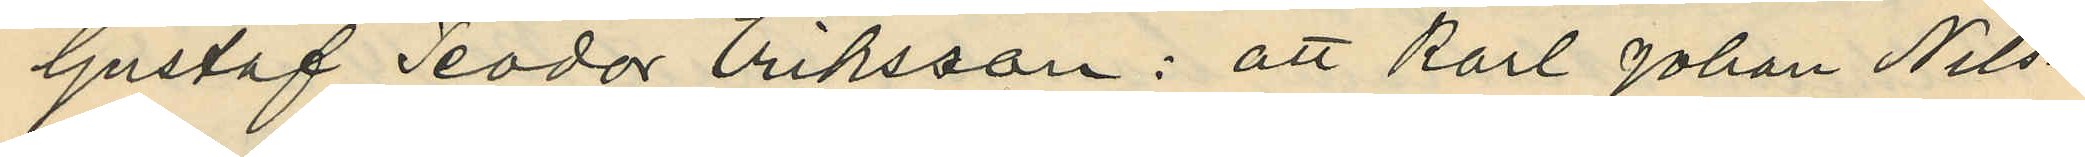Gustaf Teodor Eriksson: att Karl Johan Nils¬
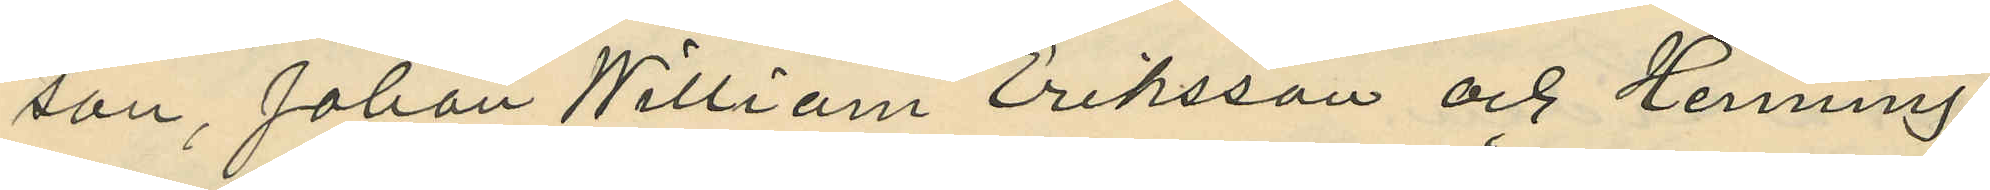son, Johan William Eriksson och Henning
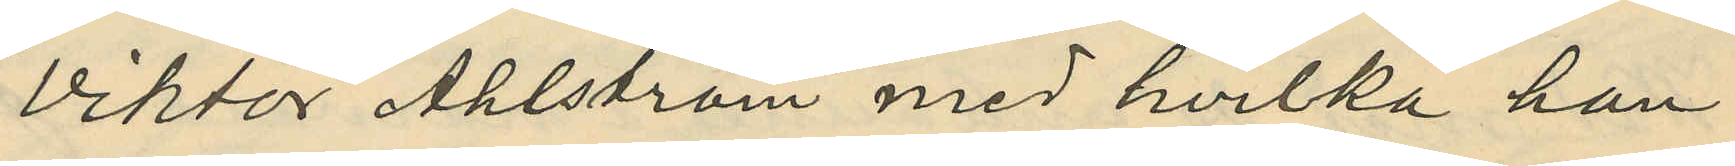Viktor Ahlström med hvilka han
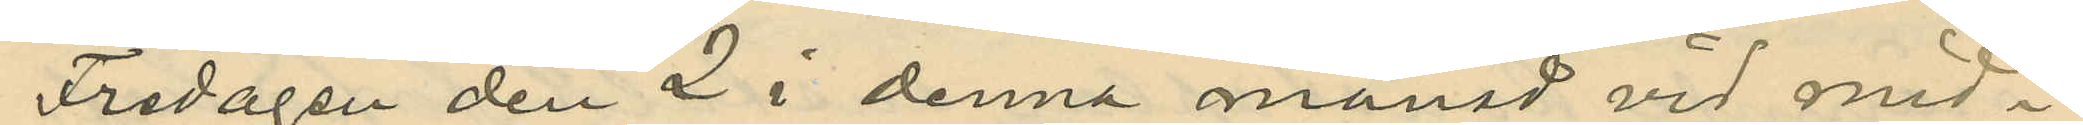Fredagen den 2 i denna månad vid mid¬
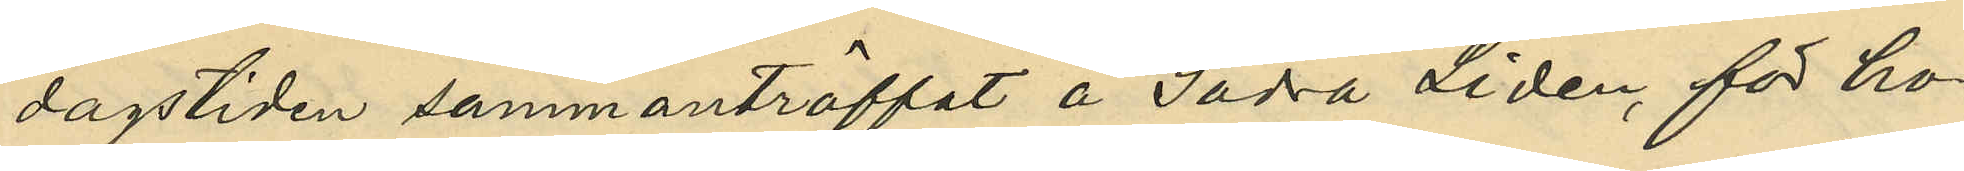dagstiden sammanträffat å Södra Lidén, för ho¬
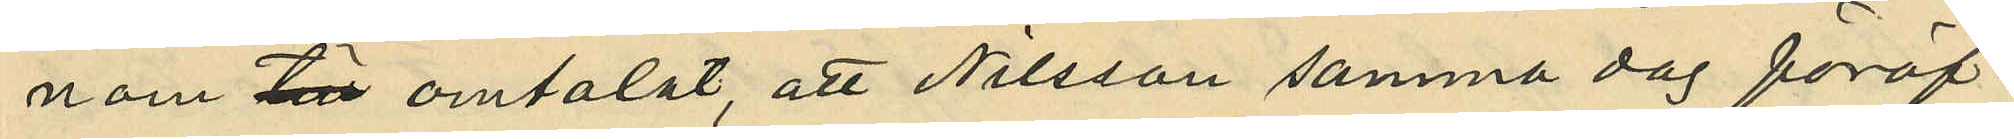nom till omtalat, att Nilsson samma dag föröf¬
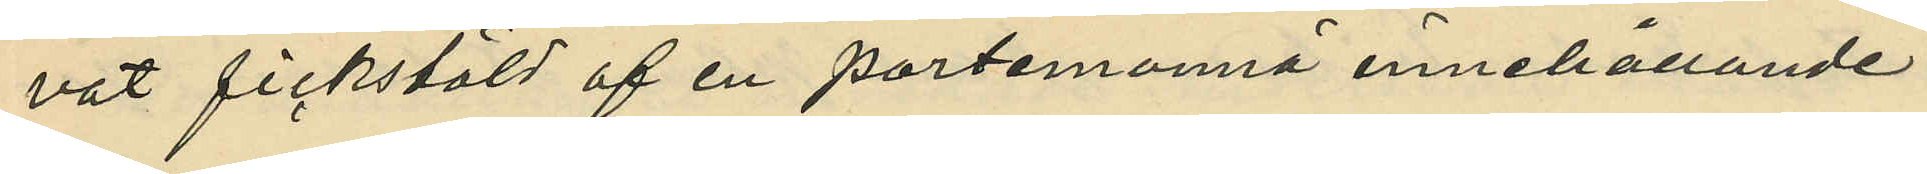vat fickstöld af en portemonnä innehållande
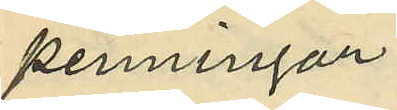penningar;
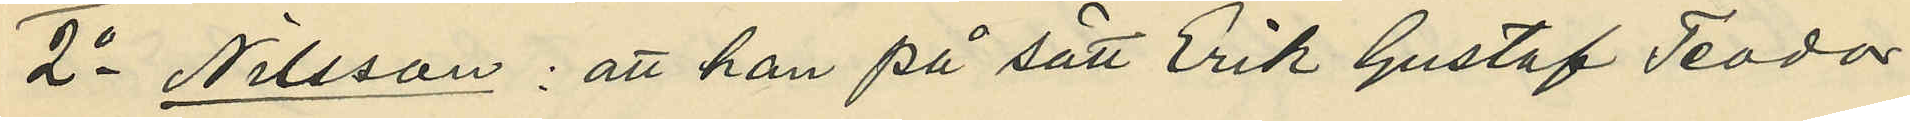2o Nilsson: att han på sätt Erik Gustaf Teodor
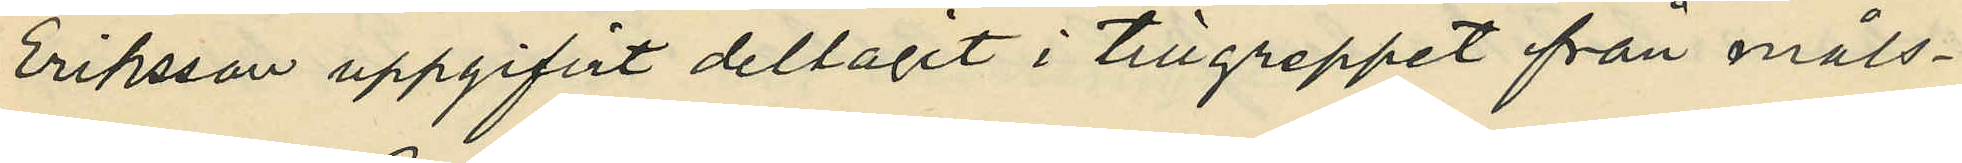Eriksson uppgifvit deltagit i tillgreppet från måls¬
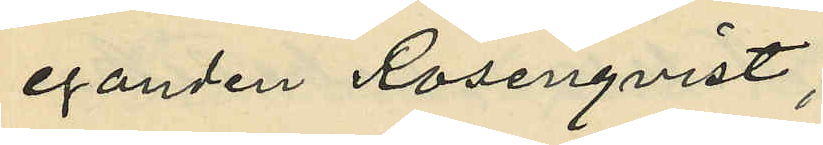eganden Rosenqvist;
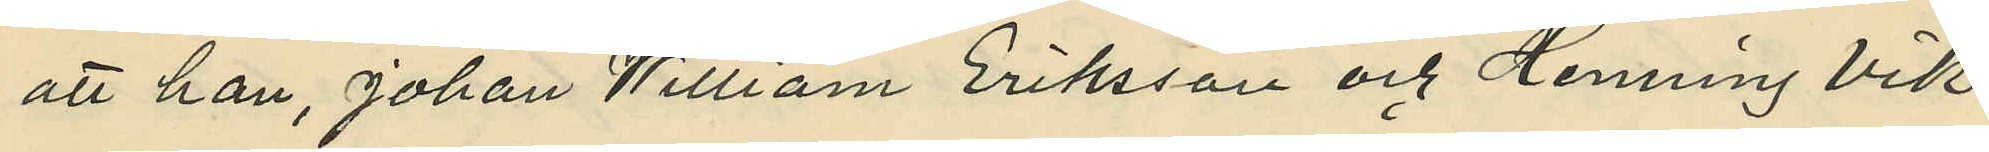att han, Johan William Eriksson och Henning Vik¬
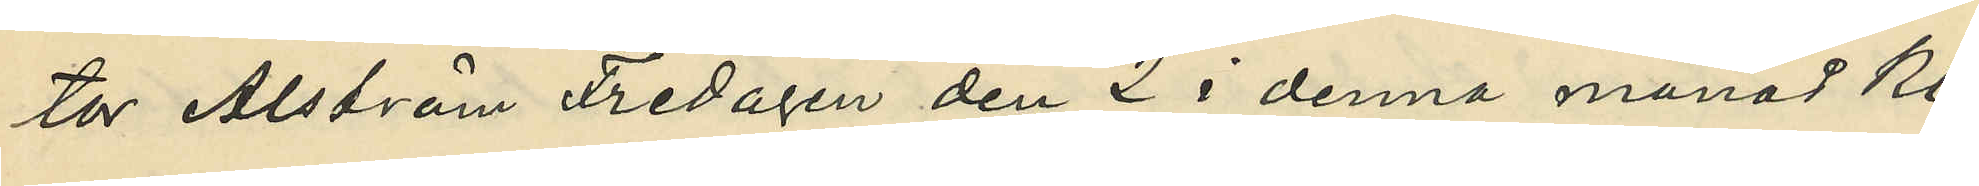tor Ahlström Fredagen den 2 i denna månad Kl.
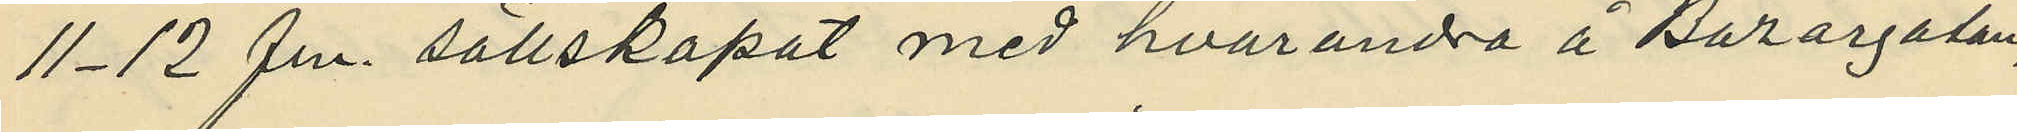11-12 fm. sällskapat med hvarandra å Bazargatan,
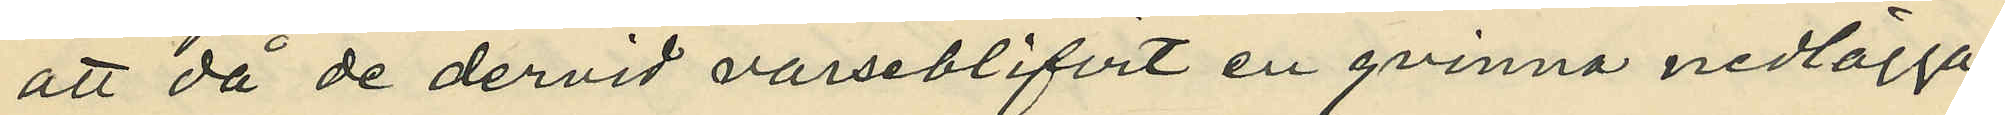att då de dervid varseblifvit en qvinna nedlägga
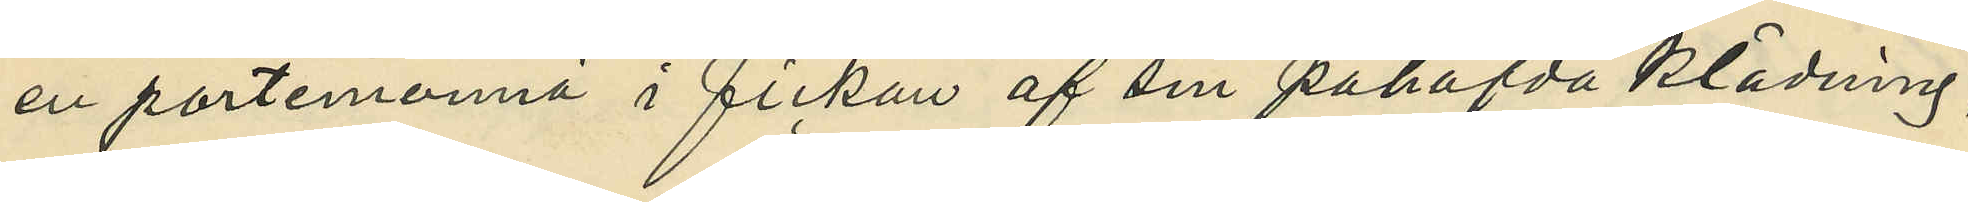en portmonnä i fickan af sin påhafda klädning
